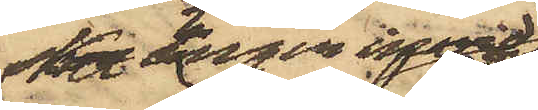Hasselbladska
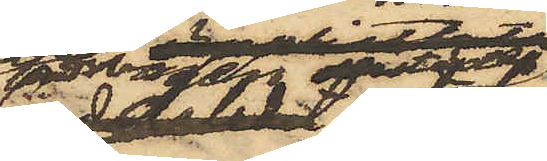ängen derstädes
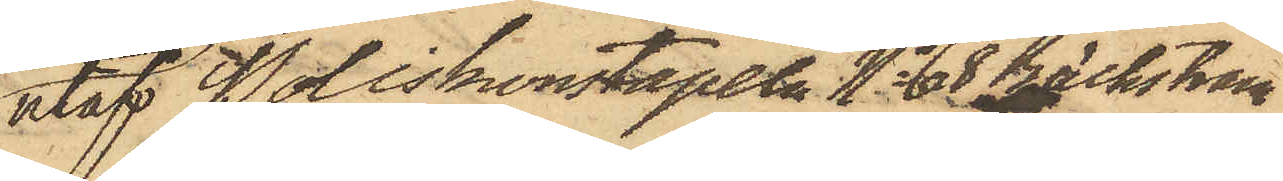utaf Poliskonstapeln No 68 Bäckström
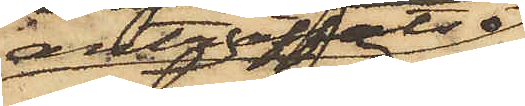anträffats
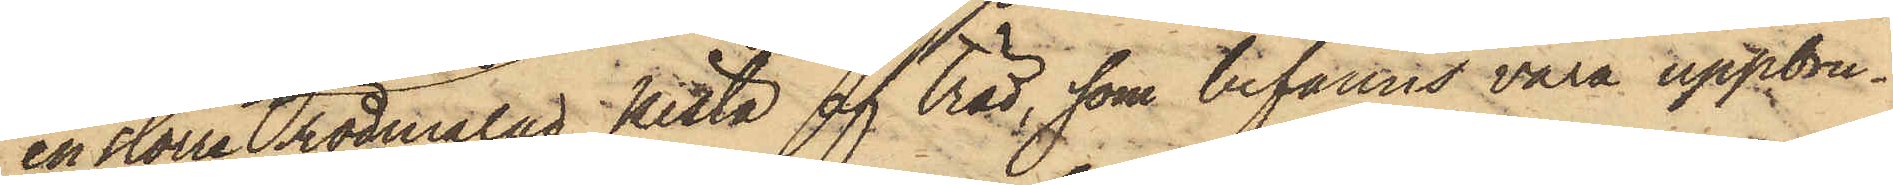en större rödmålad kista af träd, som befanns vara uppbru¬
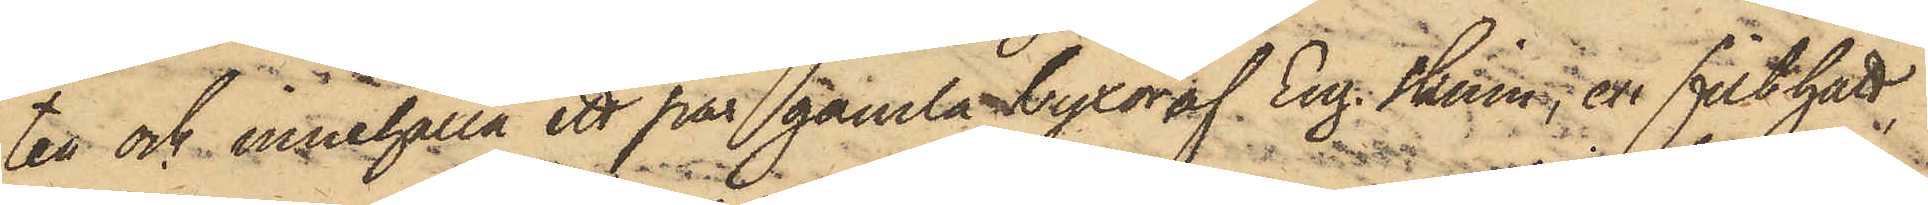ten och innehålla ett par gamla byxor af Eng. Skinn, en filthatt
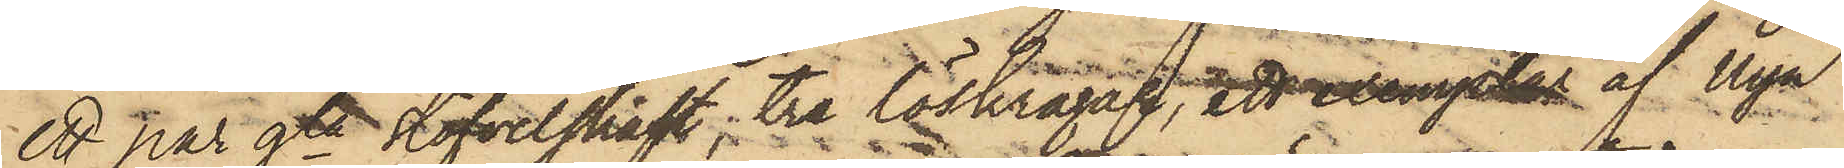ett par gla stöfvelskaft, tre löskragar, att exemplar af Nya
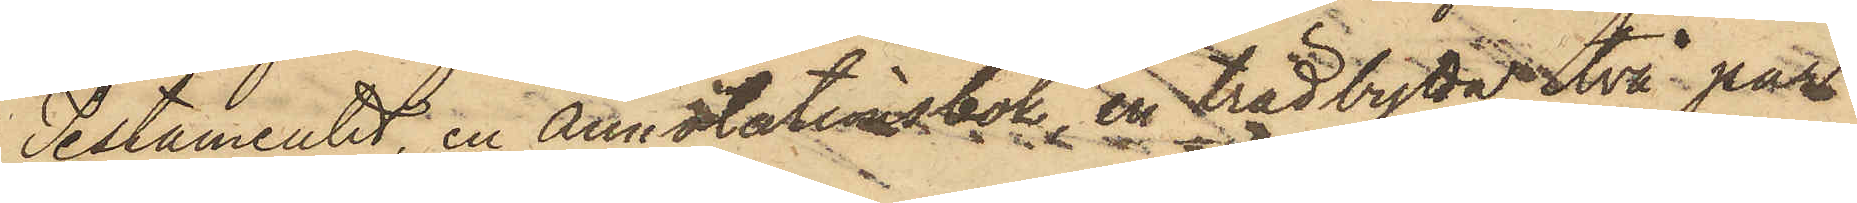Testamentet, en Annotationsbok, en trädbytta, två par
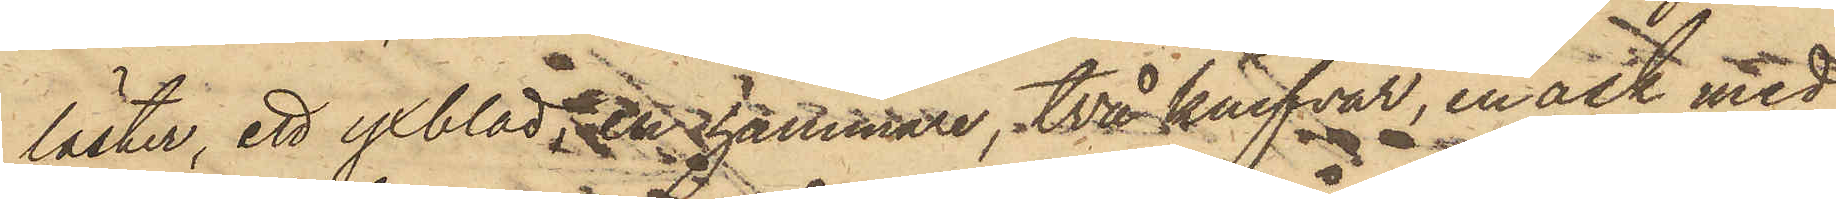läster, ett yxblad, en hammare, två knifvar, en ask med
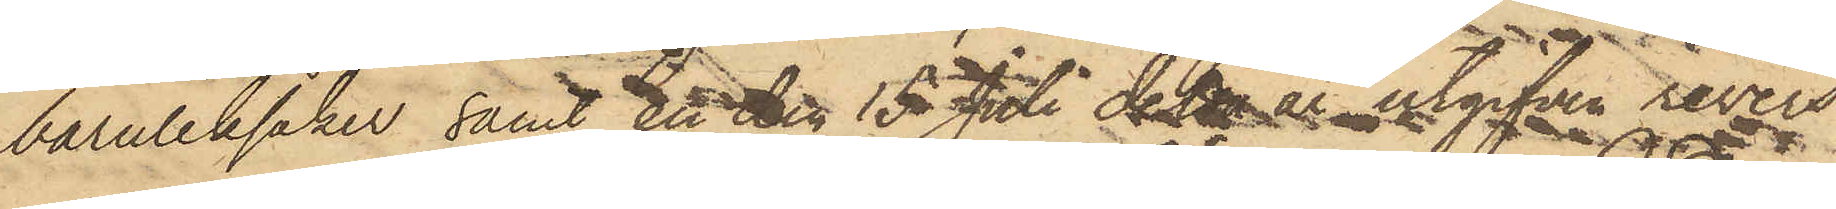barnleksaker, samt en den 15 Juli detta år utgifven revers
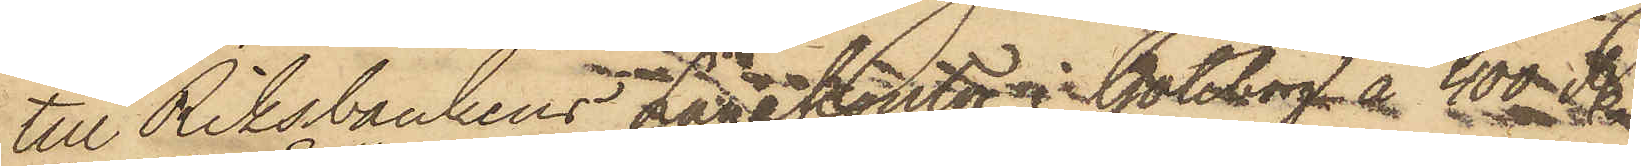till Riksbankens Lånekontor i Göteborg å 400 R.
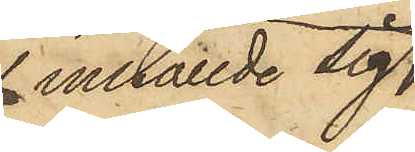inställde sig
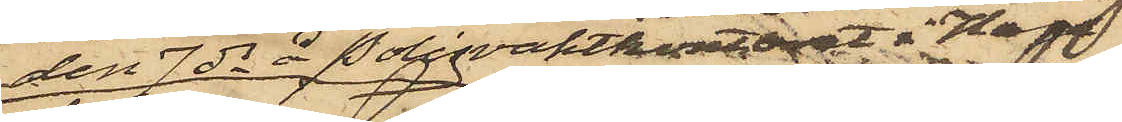den 7 ds å Polisvaktkontoret i Haga
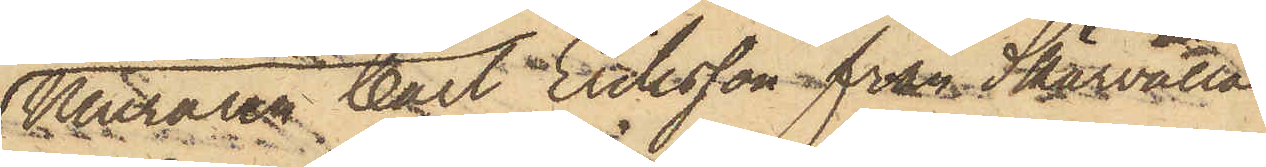Muraren Carl Eriksson från Skärvalla
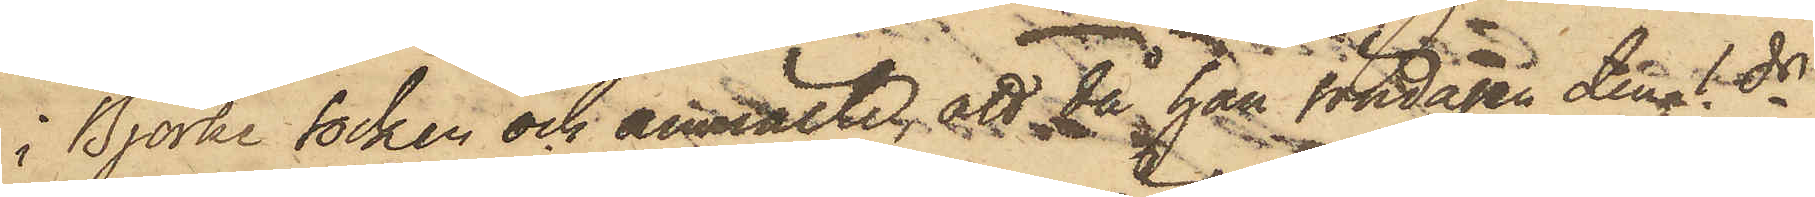i Björke socken och anmälte, att då han söndagen den 1 ds
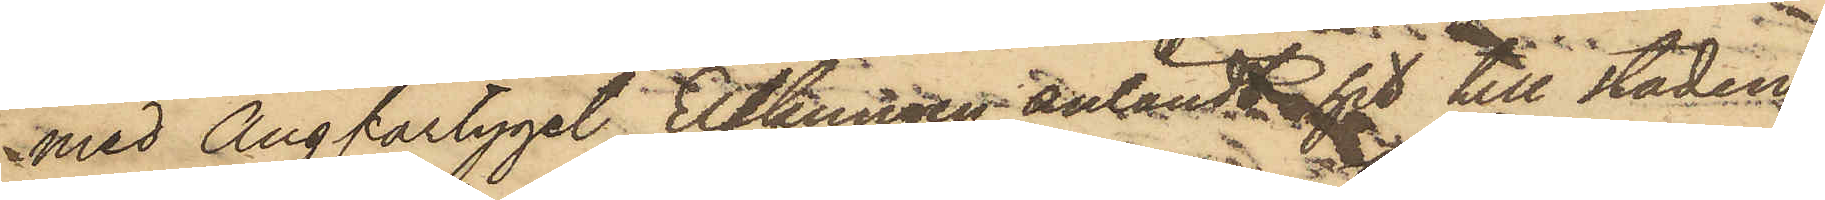med Ångfartyget Elfkungen anländt hit till staden,
